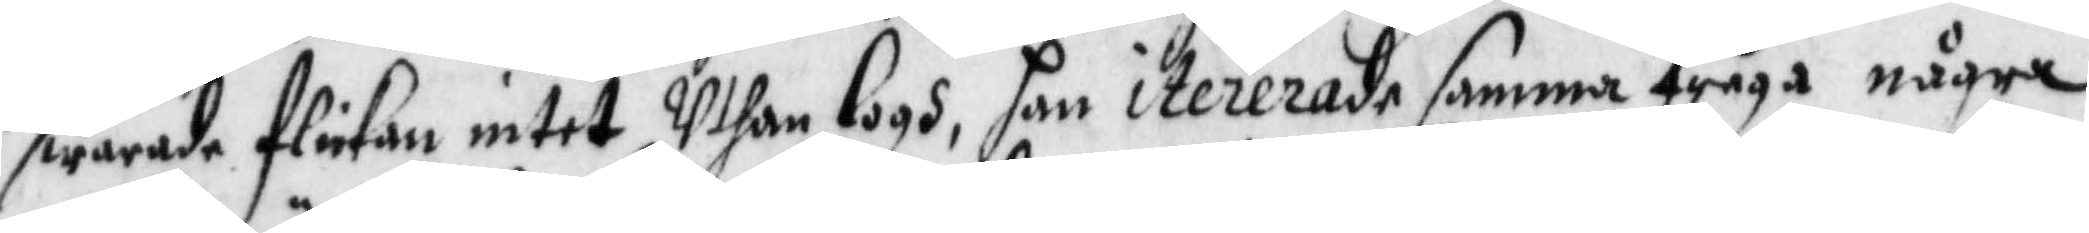swarade flickan intet Uthan logh, han itererade samma fråga någre
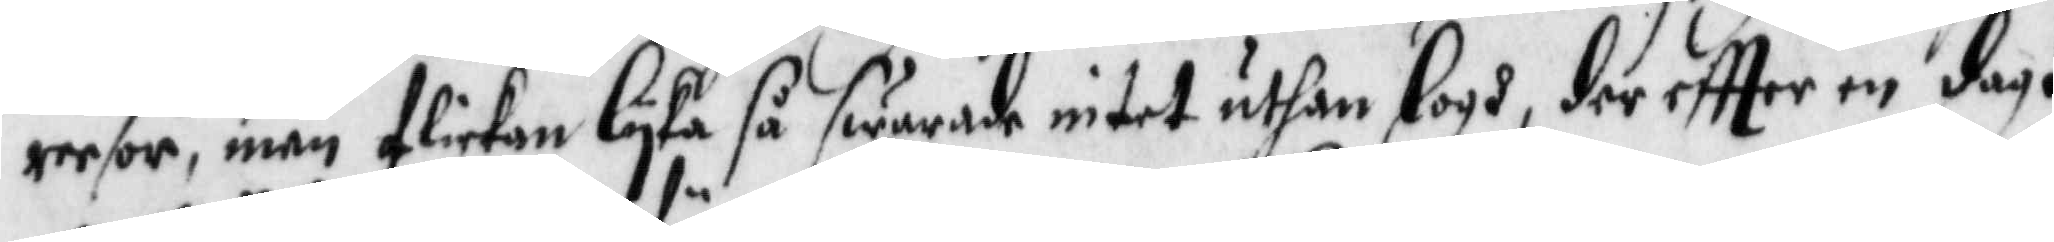reesor, män flickan lyka så swarade intet uthan logh, der eftter en dagh
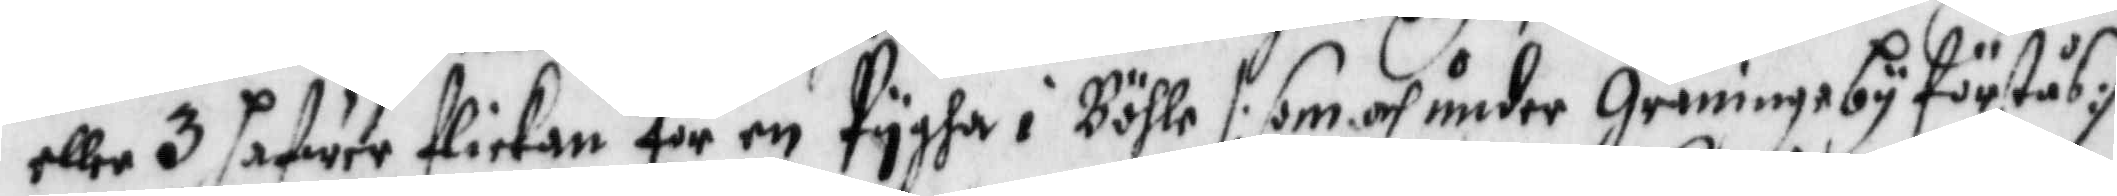eller 3 hafwer flickan för en Pygha i Böhle /: som och under Graningeby förstås:/
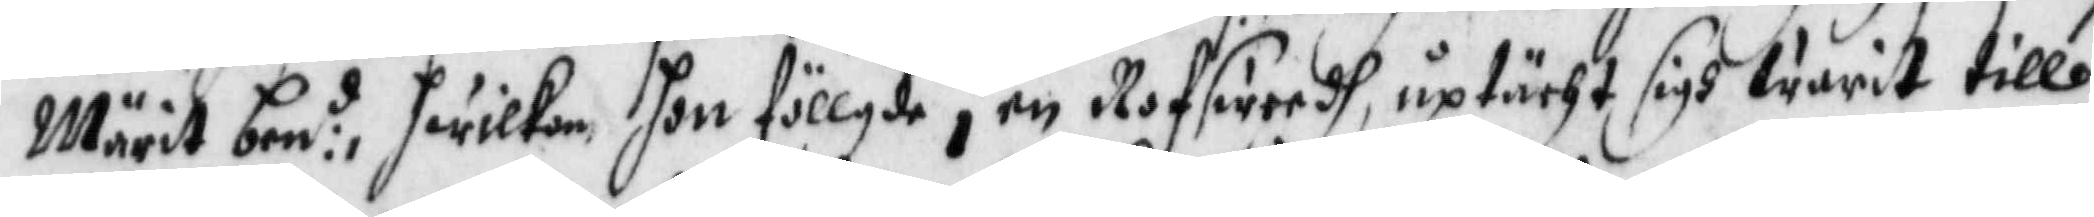Märit ben:d hwilken hon föllgde i enn Rofswerdh, uptächt sigh warit till
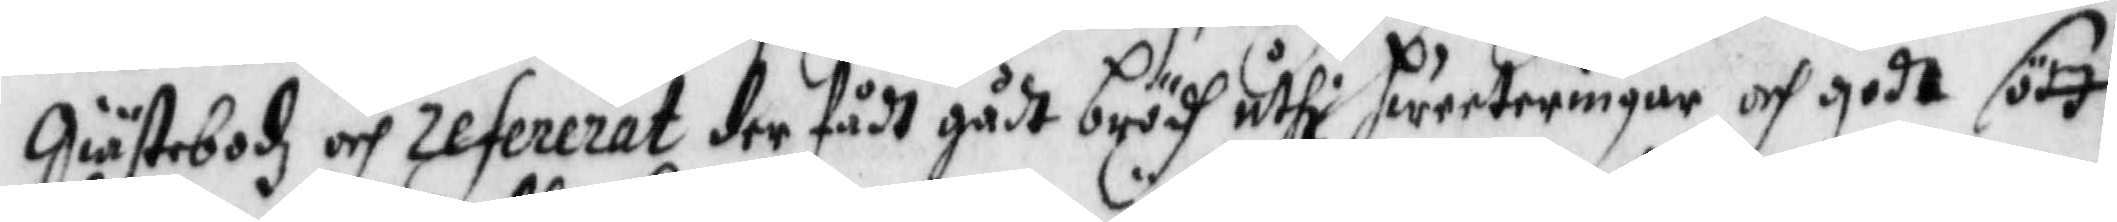Giästebodz och refererat der fådt gådt brödh uthi hweeteringar och godt sött
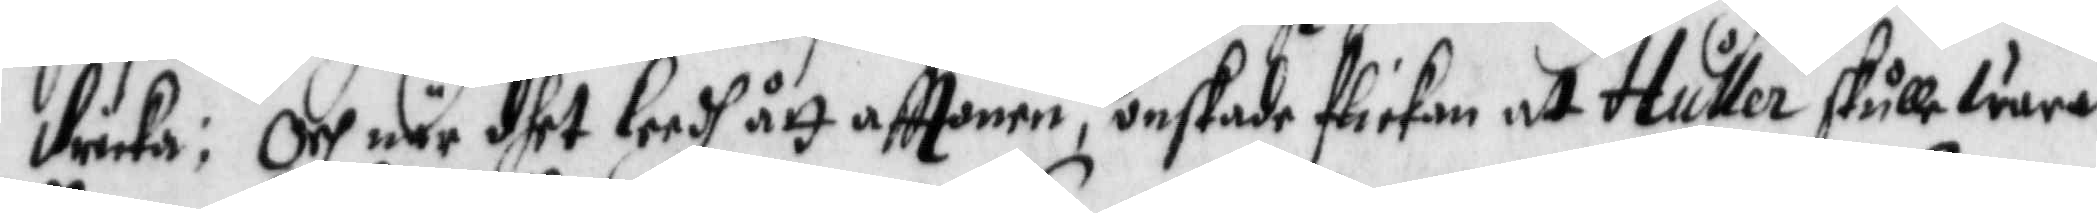dricka; Och när dhet leedh ått afttonen, önskade flickan at Huller skulle wara
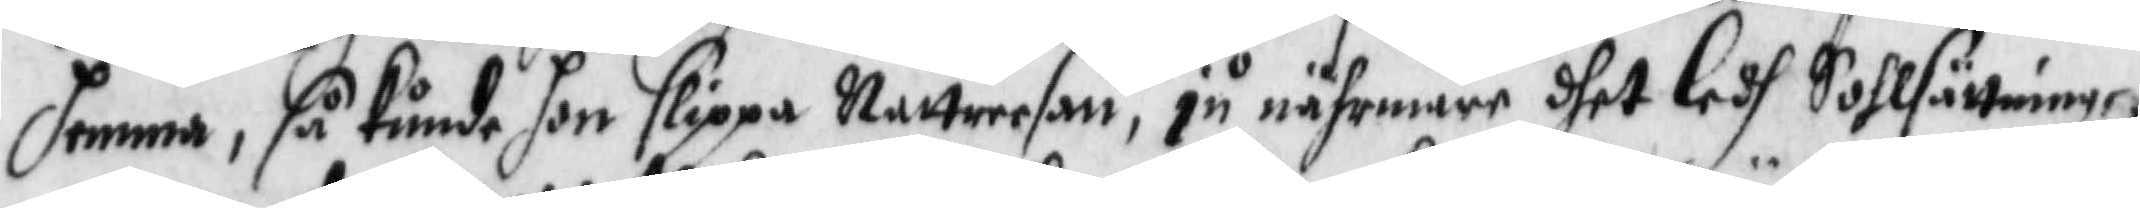hemma, så kunde hon slippa Nattreesan, ju nährmare dhet ledh Sohlsättningen
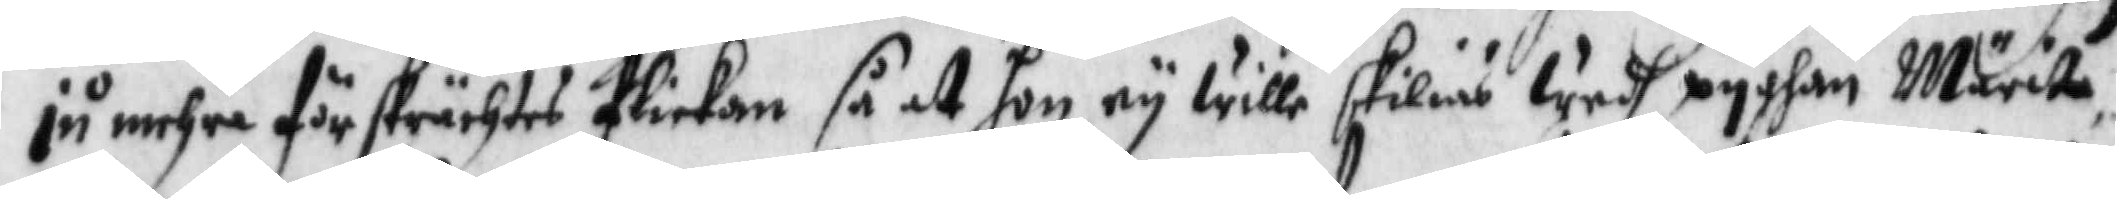ju mehra förskrächtes flickan så at hon ey wille skilias wedh pygan Märita
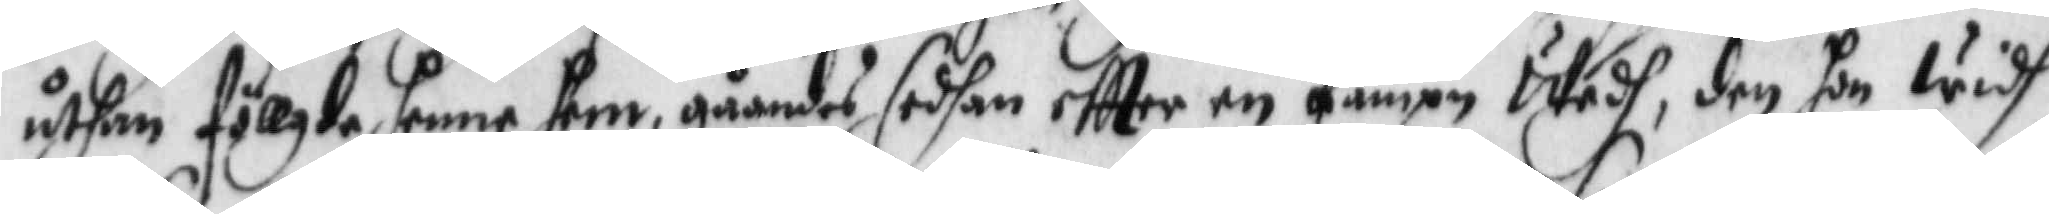uthan föllgde henne hem, gåendes sedhan eftter en Fampn wedh, den hon widh
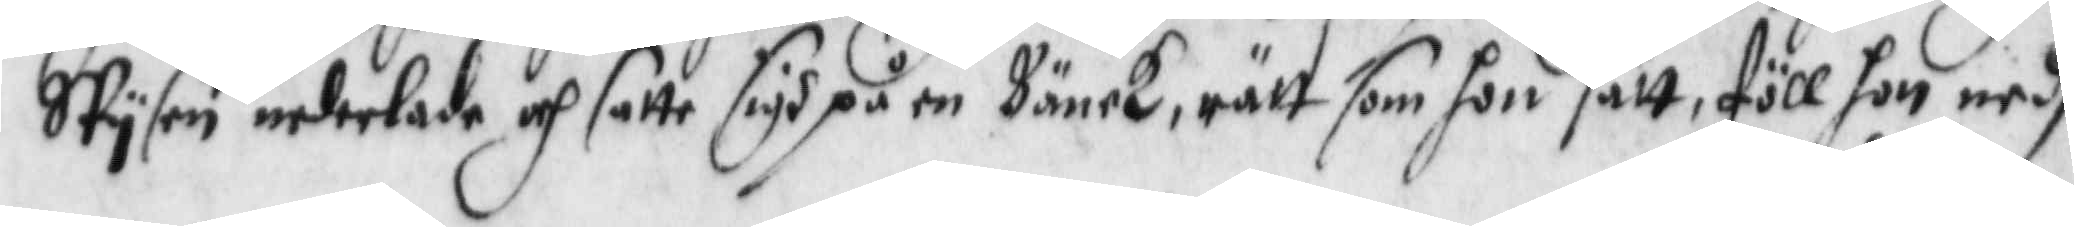SPysen nederlade och satte sigh på en Bänck, rätt som hon satt, föll hon nedh
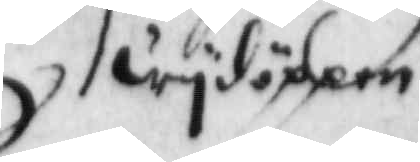wydhöppem
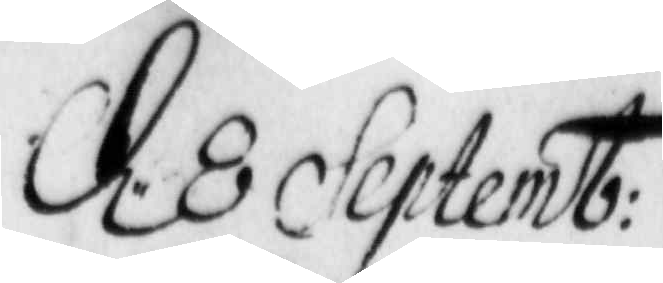d. 8 Septemb:
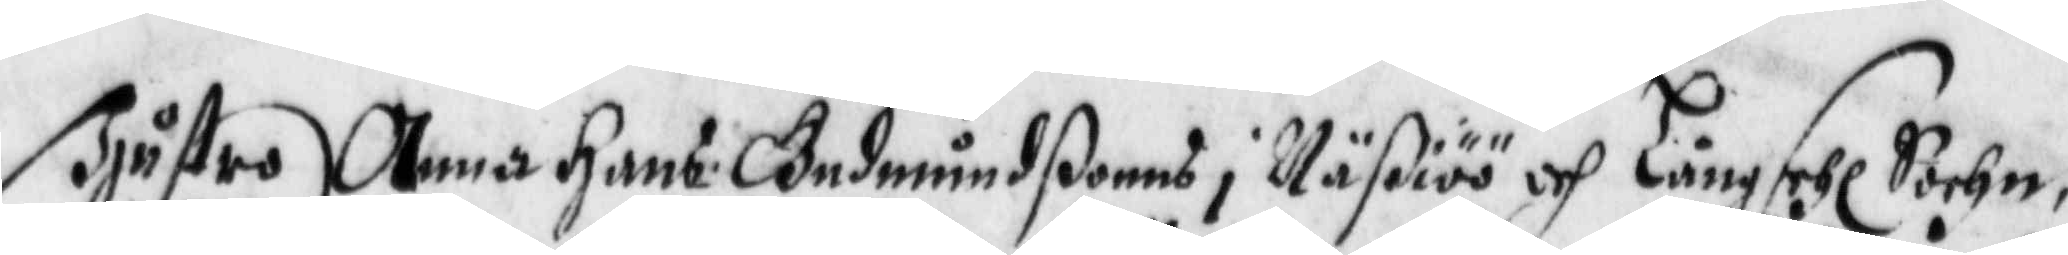Hustru Anna Hans: Gudmundßons i Näßiöö och Långsehl Sochn,
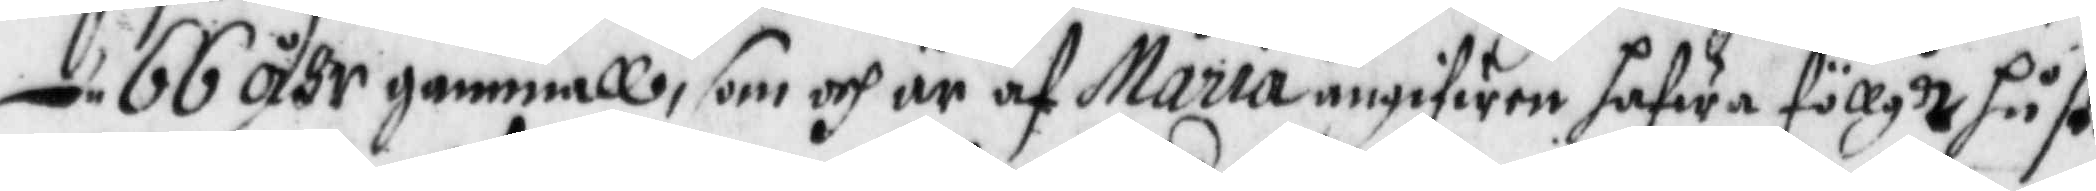66 åhr gammall, som och är af Maria angifwen hafwa föllgdt hust:
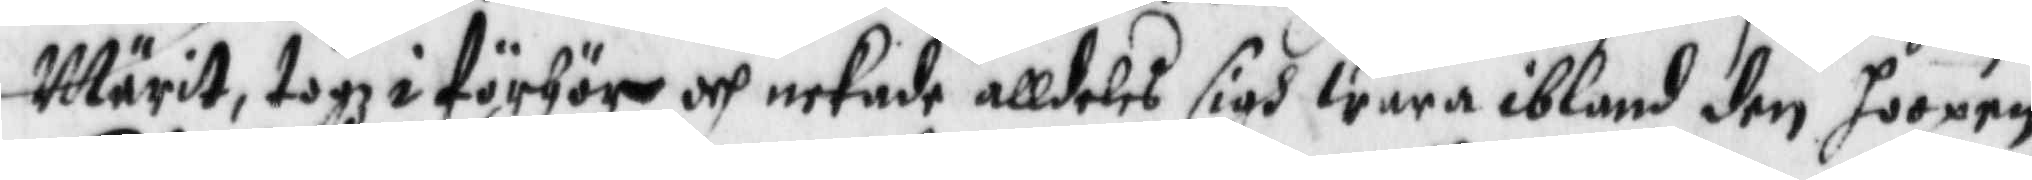Märit, togz i förhör och nekade alldeles sigh wara ibland den hoopen,
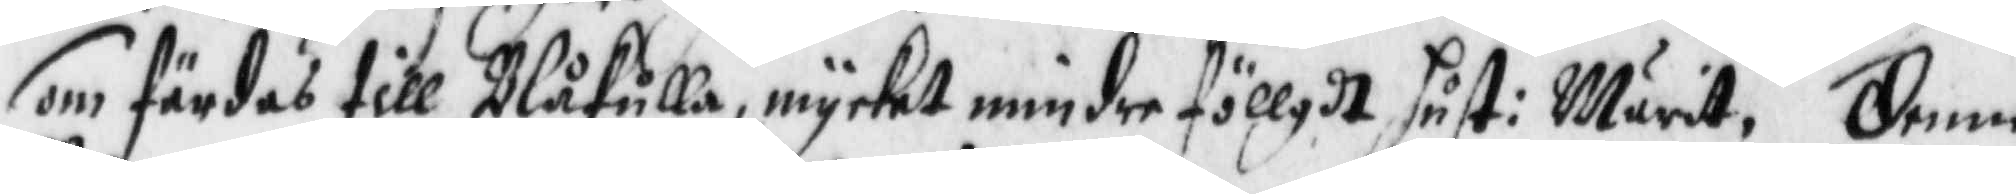som färdas till Blåkulla, mycket mindre föllgdt hust: Märit. Denne
